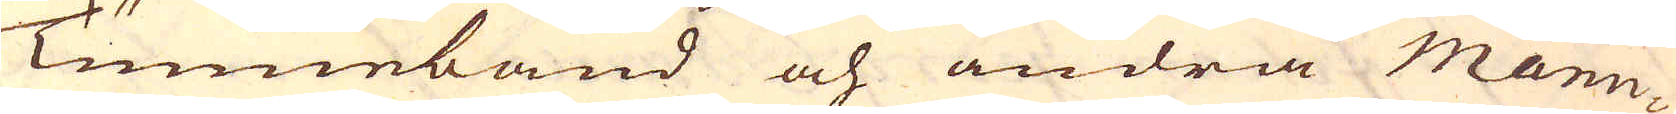Tunneband och andra Manu-
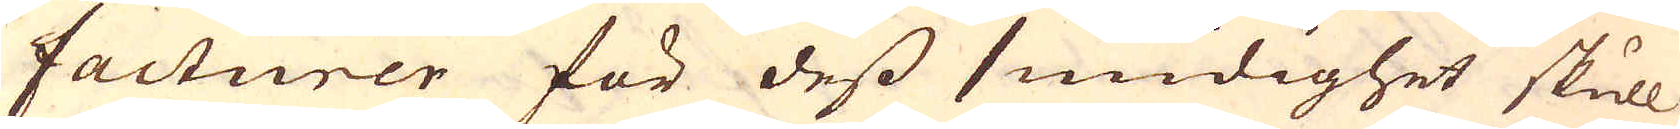facturer för dess smidighet skull
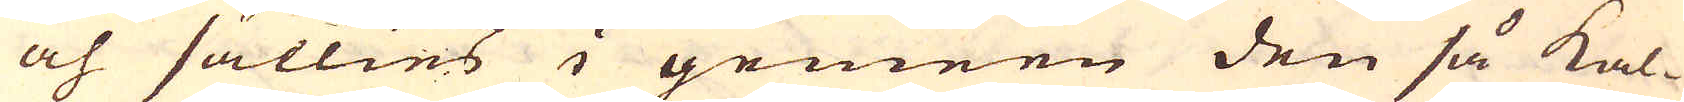och sällies i gemeen den så kal-
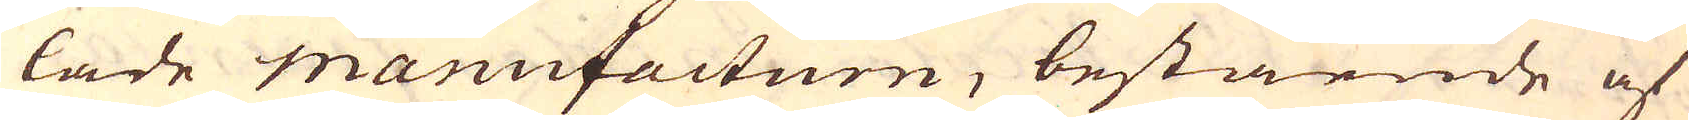lade Manufacturn, bestående af
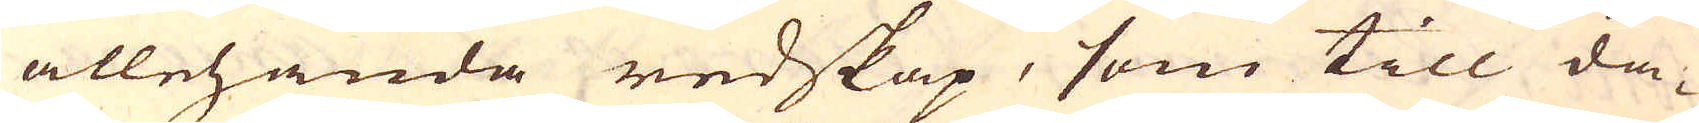allehanda redskap, som till da-
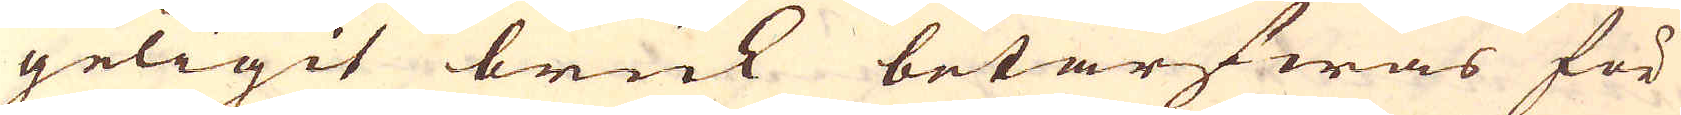geligit bruk betarfwas för
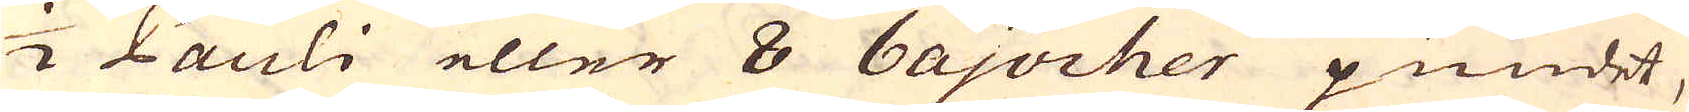1/2 Pauli eller 8 bajocher pundet,
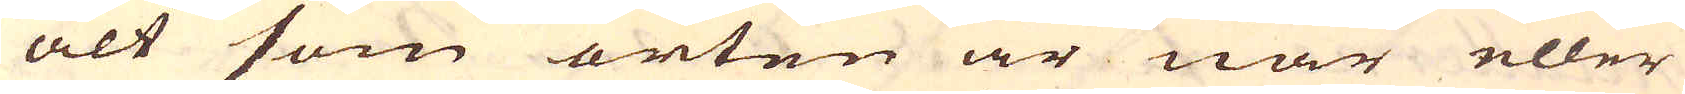alt som orten är när eller
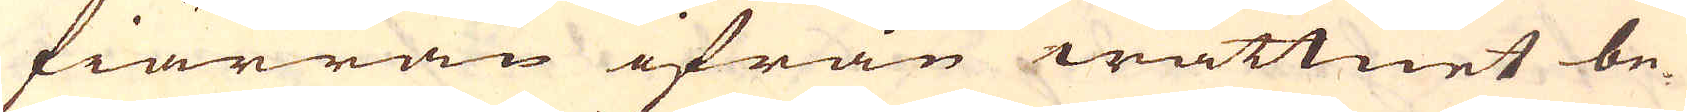fiärran ifrån wattnet be-
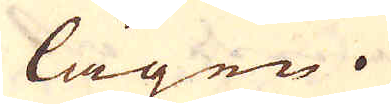lägen.
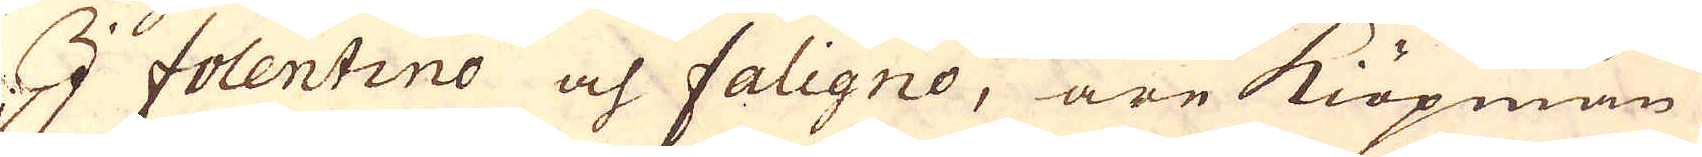I Folentino och Faligne, äre Kiöpmän
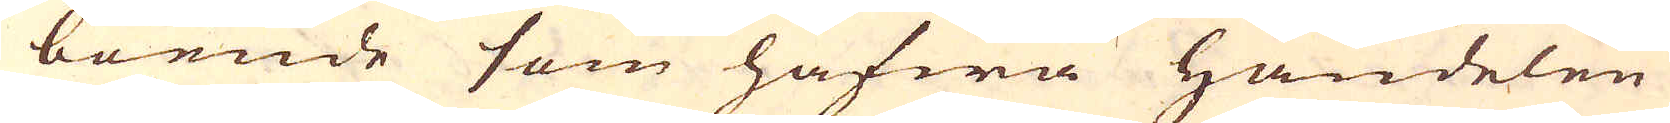boende som hafwa Handelen
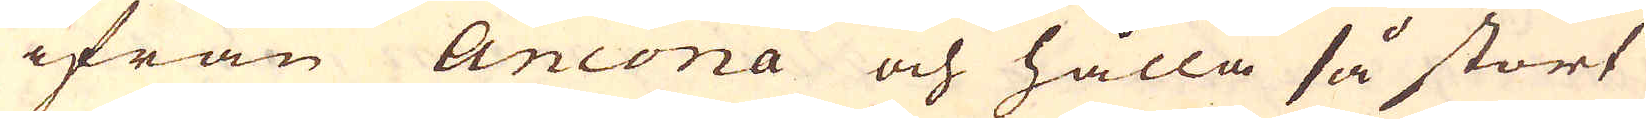ifrån Ancona och hålla så stort
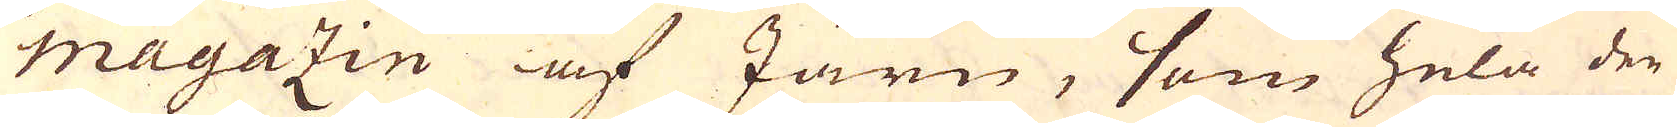magazin af Järn, som hela den
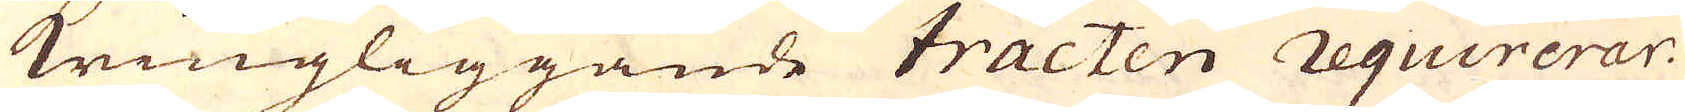kringliggande tracten requirerar.
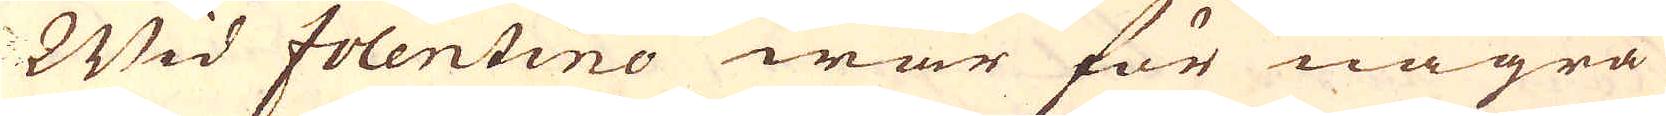Wid Folentino war för några
